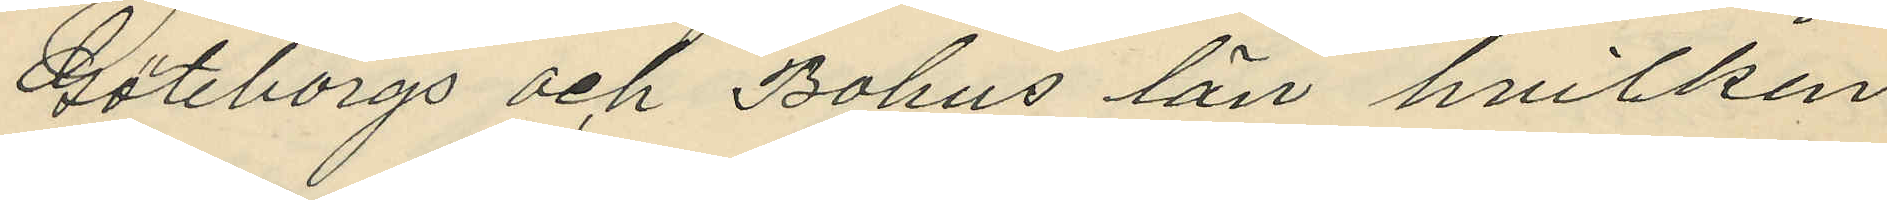Göteborgs och Bohus län hvilken
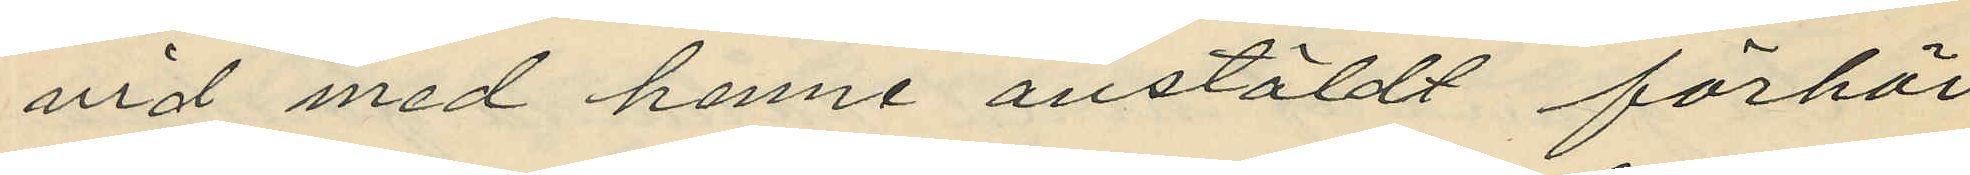vid med henne anstäldt förhör
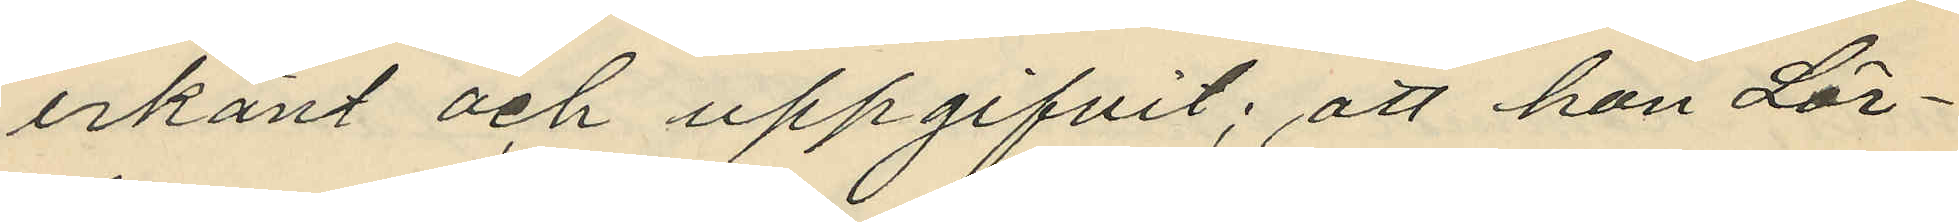erkänt och uppgifvit; att hon Lör¬
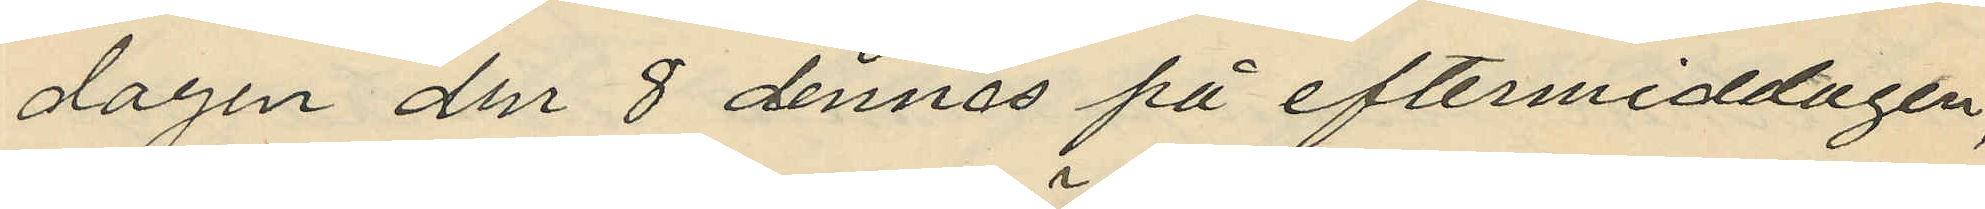dagen den 8 dennes på eftermiddagen,
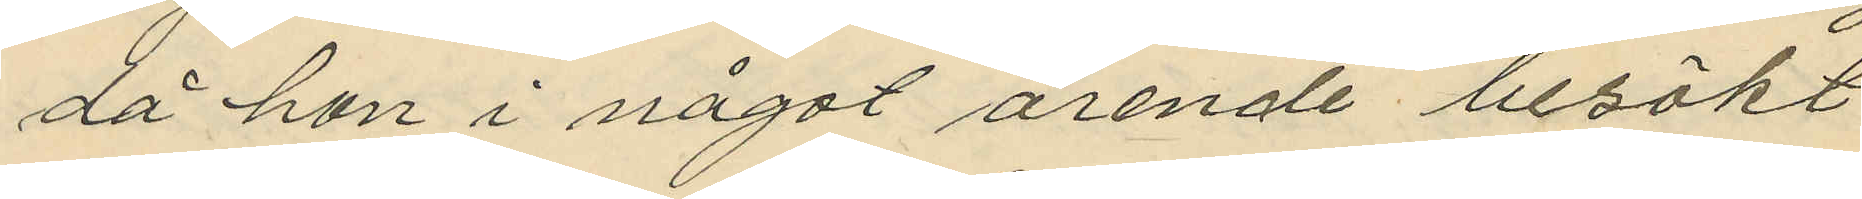då hon i något ärende besökt
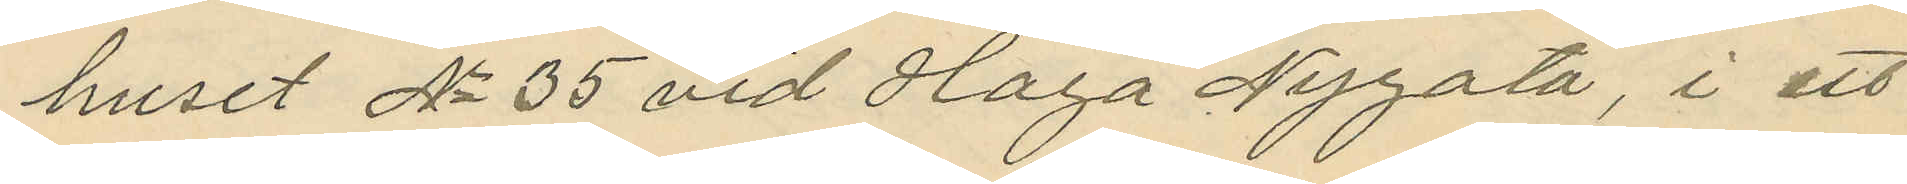huset No 35 vid Haga Nygata, i ett
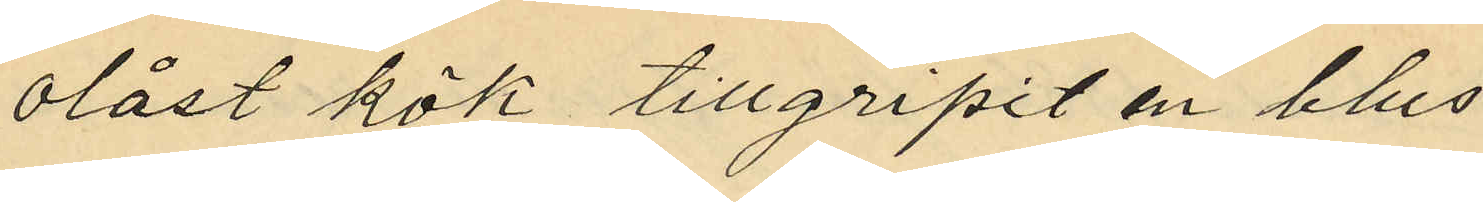olåst kök tillgripit en blus
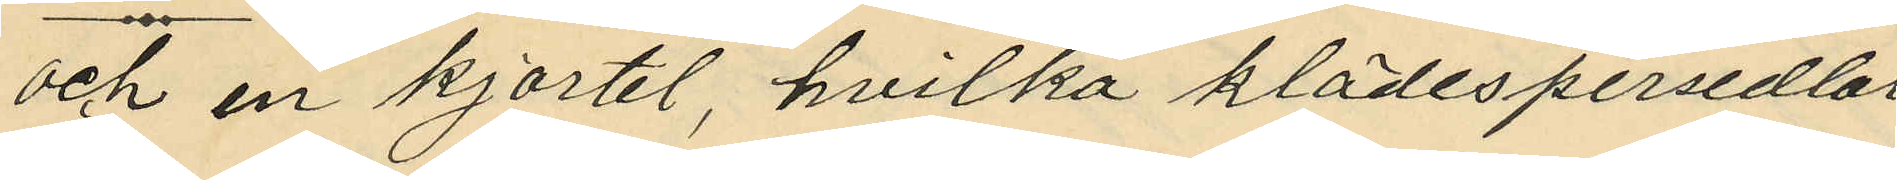och en kjortel, hvilka klädespersedlar
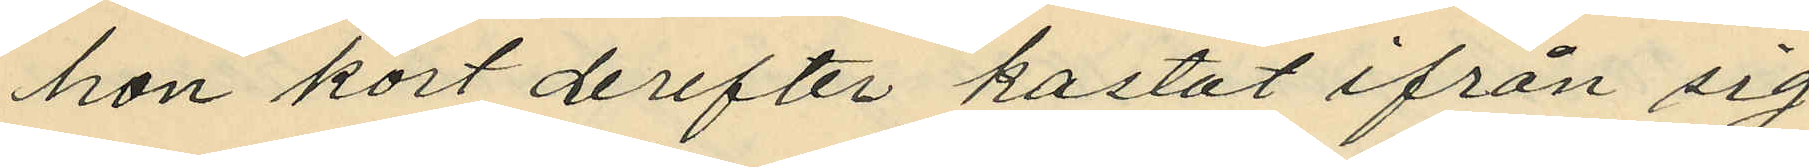hon kort derefter kastat ifrån sig
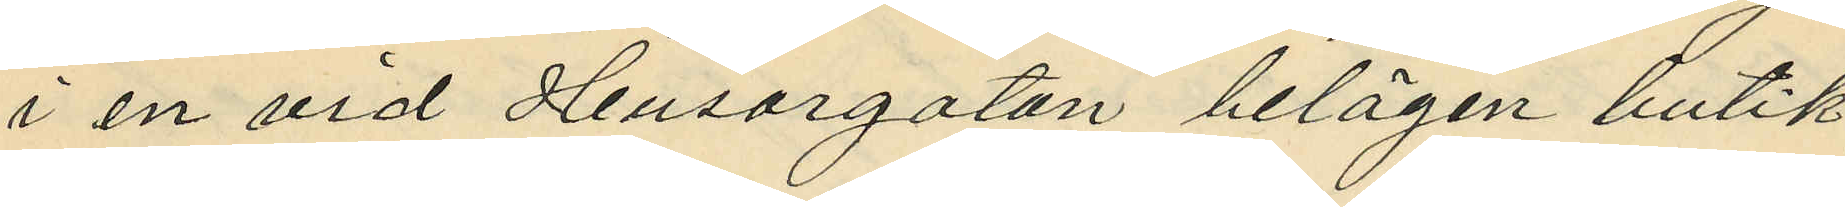i en vid Husargatan belägen butik,
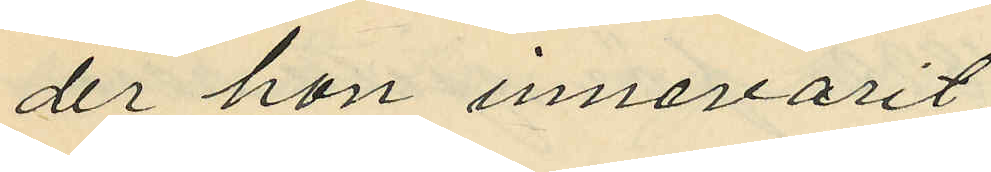der hon innevarit;
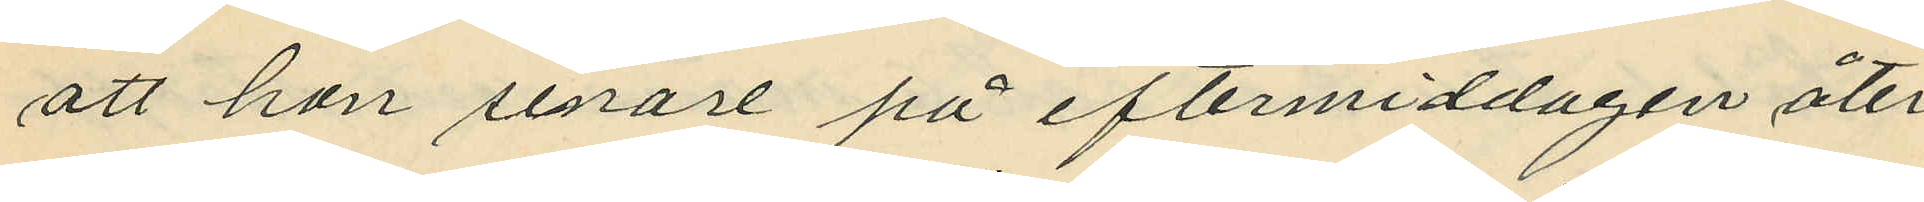att hon senare på eftermiddagen åter
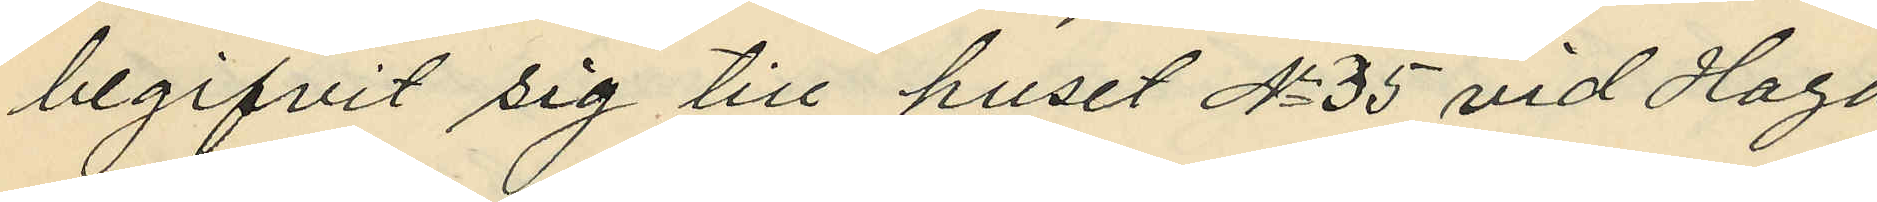begifvit sig till huset No 35 vid Haga
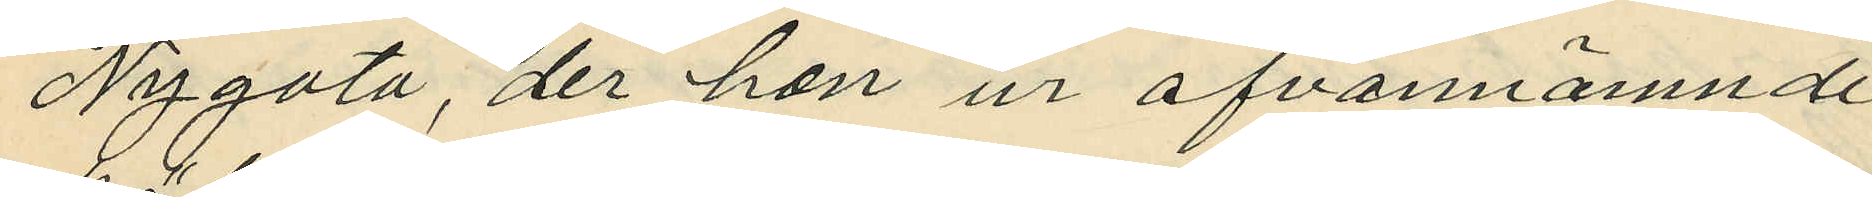Nygata, der hon ur ofvannämnde
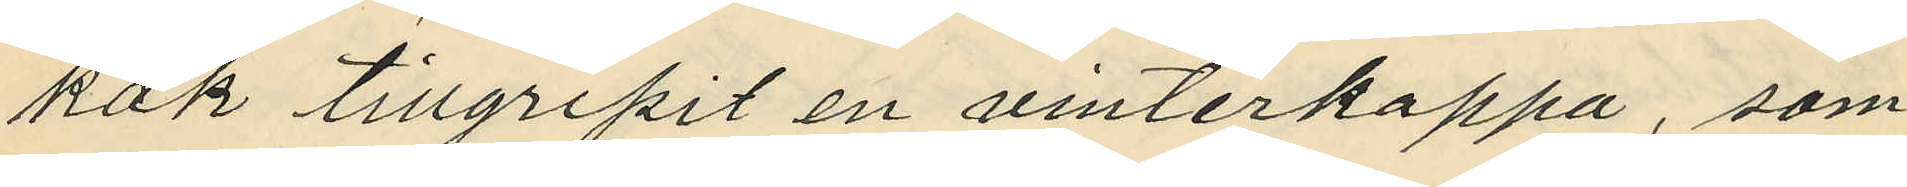kök tillgripit en vinterkappa, som
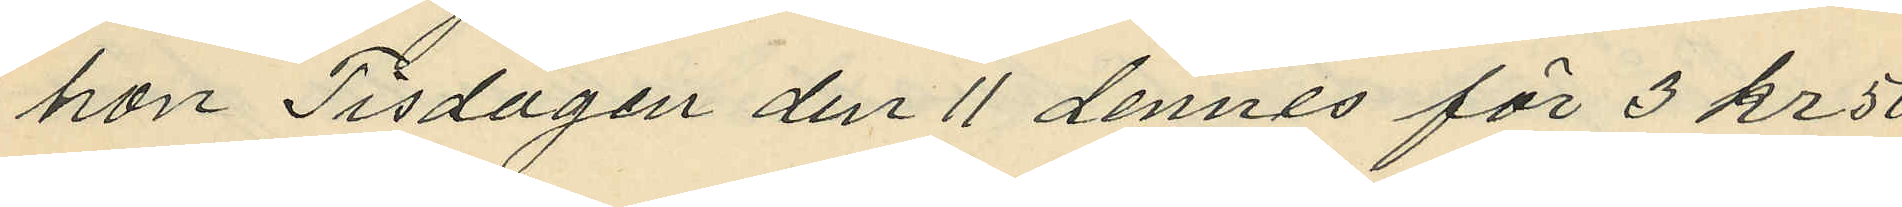hon Tisdagen den 11 dennes för 3 kr 50
